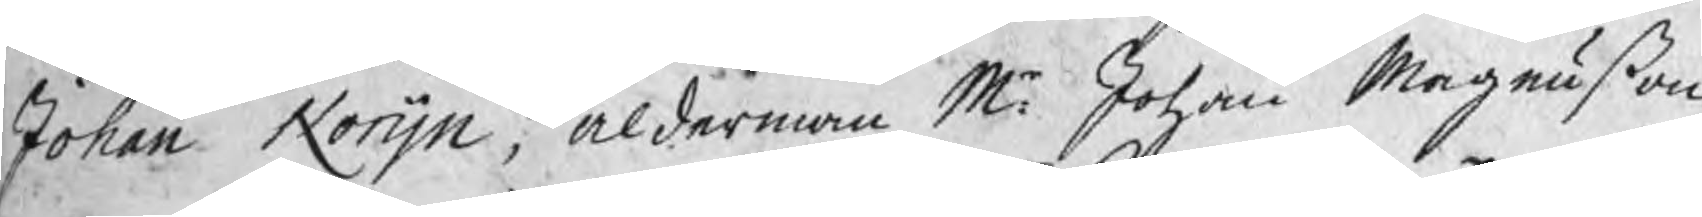Johan Norijn, ålderman Mr. Johan Magnußon
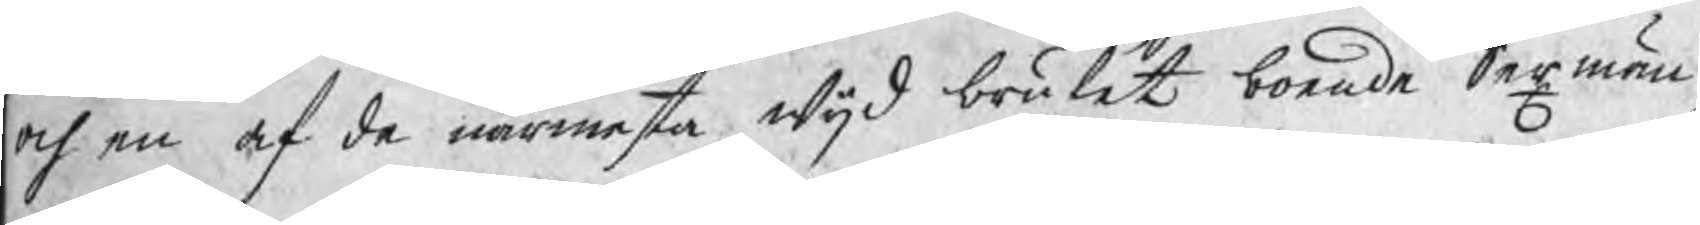och en af de närmaste wijd bruket boende Sexmän,
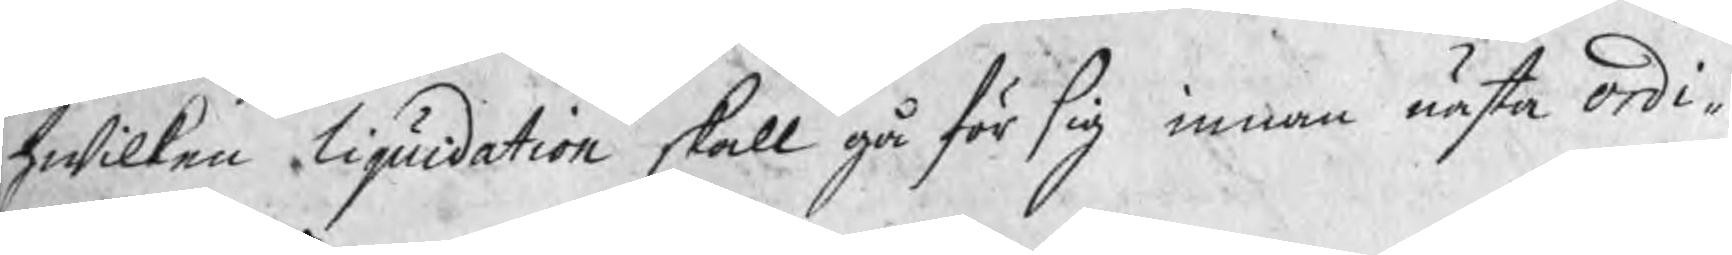hwilken liquidation skall gå för sig inna nästa ordi¬
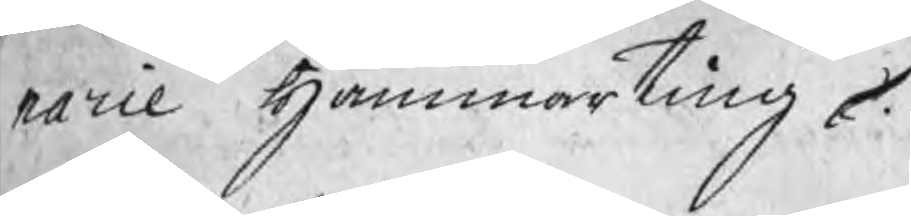narie Hammarting.
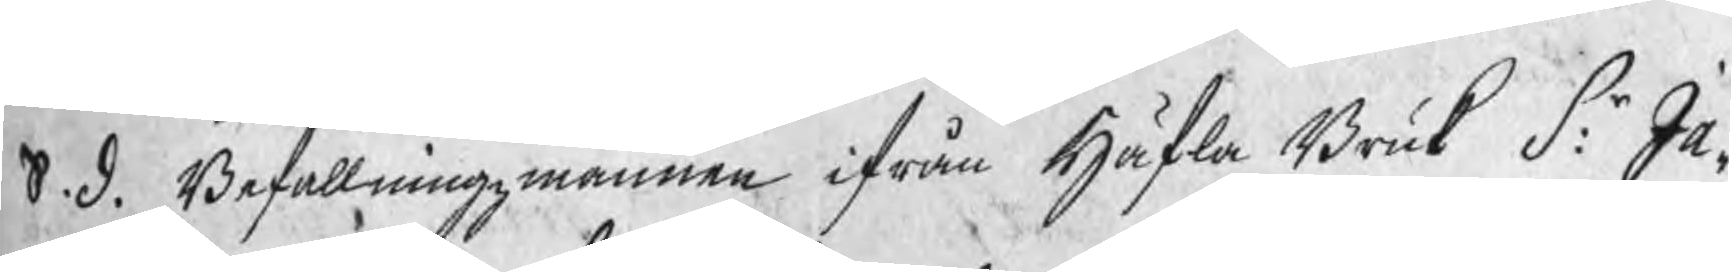S. d. Befallningzmannen ifrån Häfla Bruk S:r Ja¬
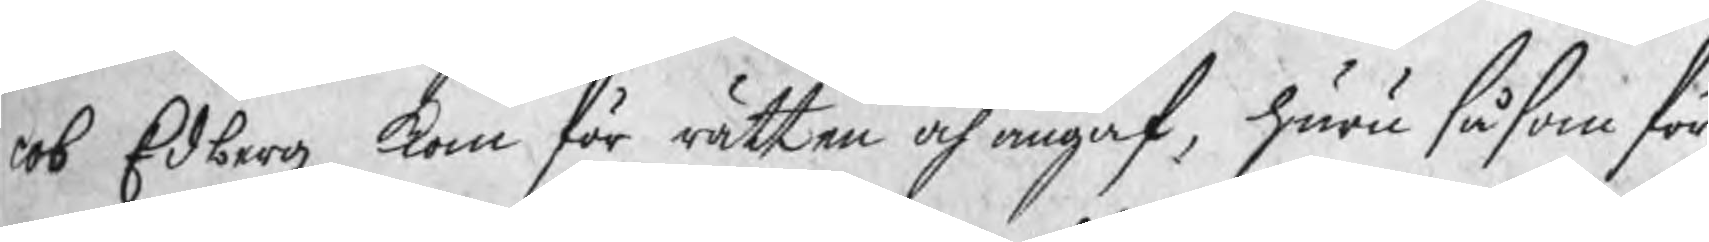cob Edberg kom för rätten och angaf, huru såsom för
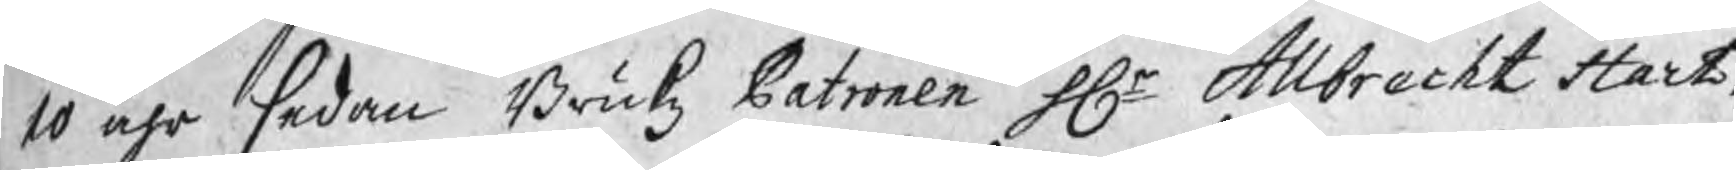10 åhr sedan Brukz Patronen Hr Allbrecht Hart¬
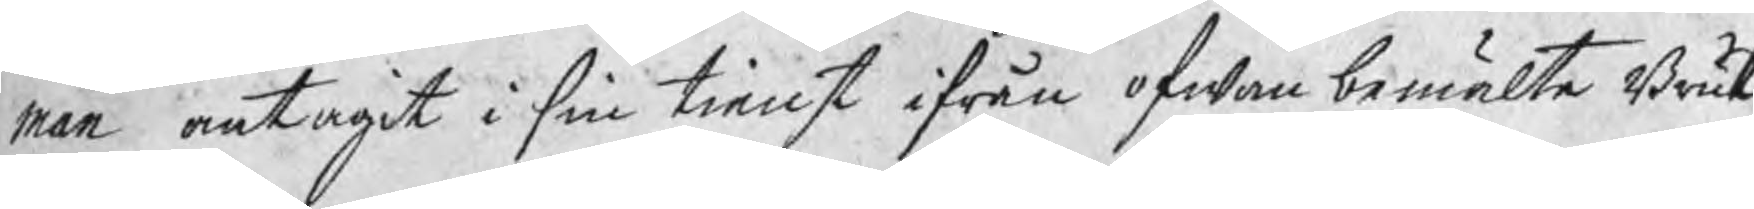man antagit i sin tienst ifrån ofwan bemälte Bruk
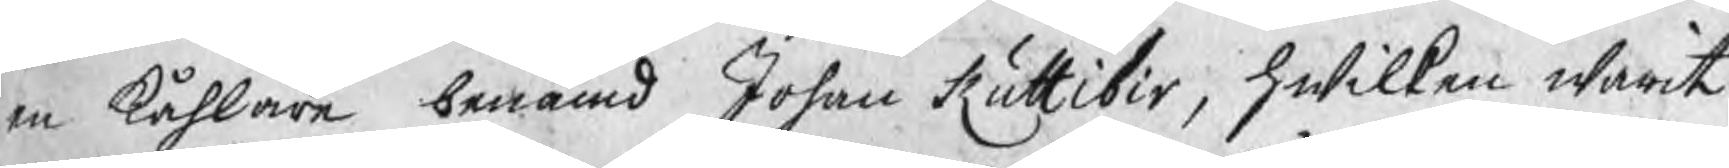en kåhlare benämd Johan Ruttibir, hwilken warit
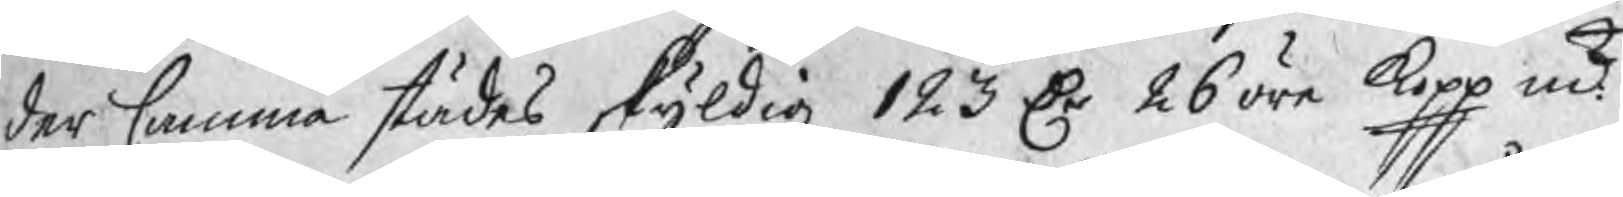der samma städes skyldig 123 Dr 26 öre kopp mt
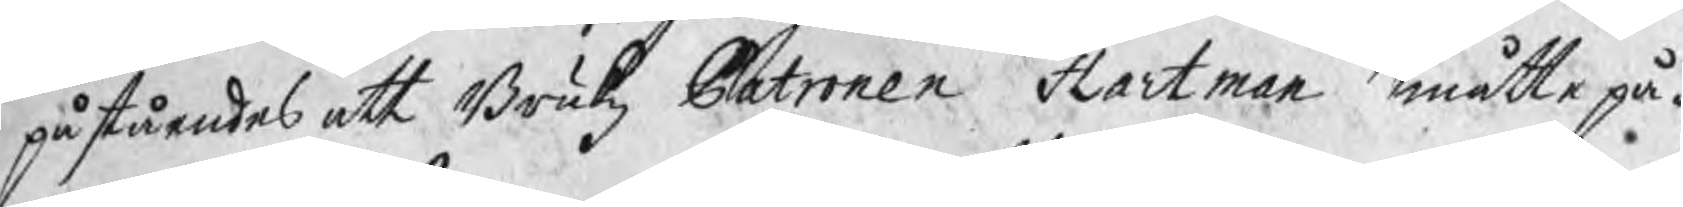påståendes att Brukz Patronen Hartman måtte på¬
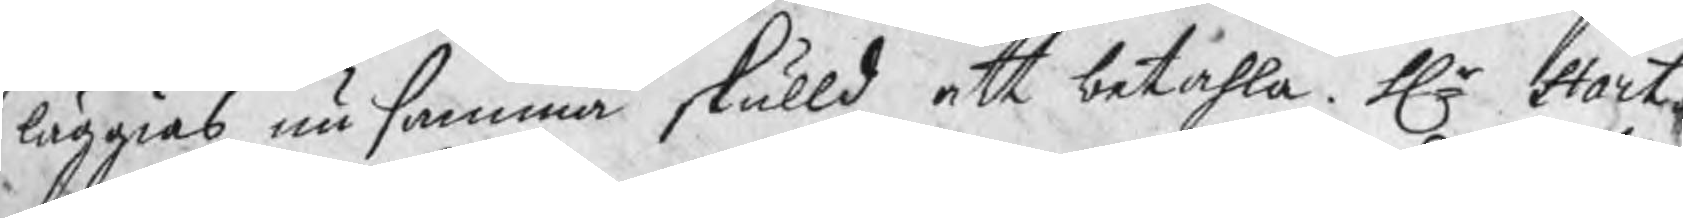läggias nu samma skulld att betahla. Hr Hart¬
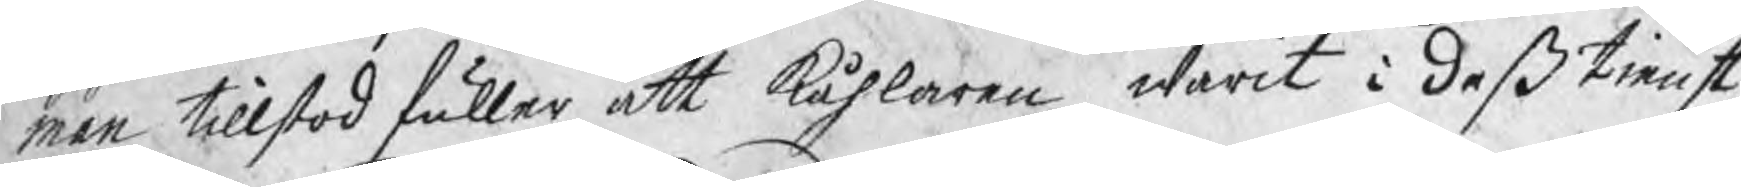man tillstod fuller att kåhlaren warit i deß tienst,
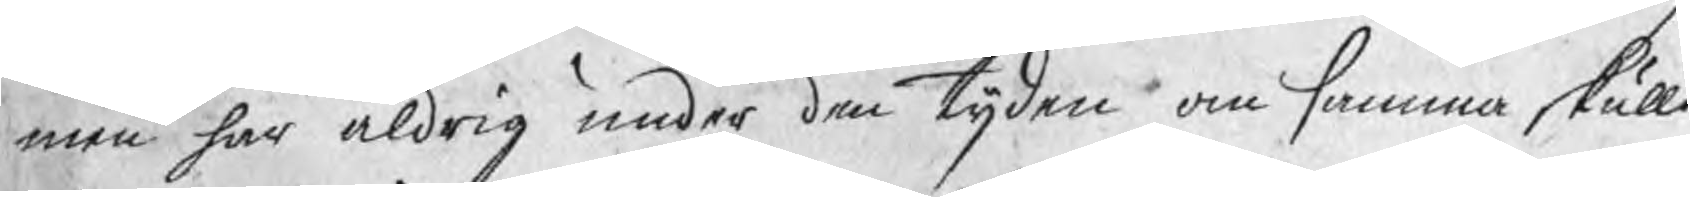men har aldrig under den tijden om samma skulld
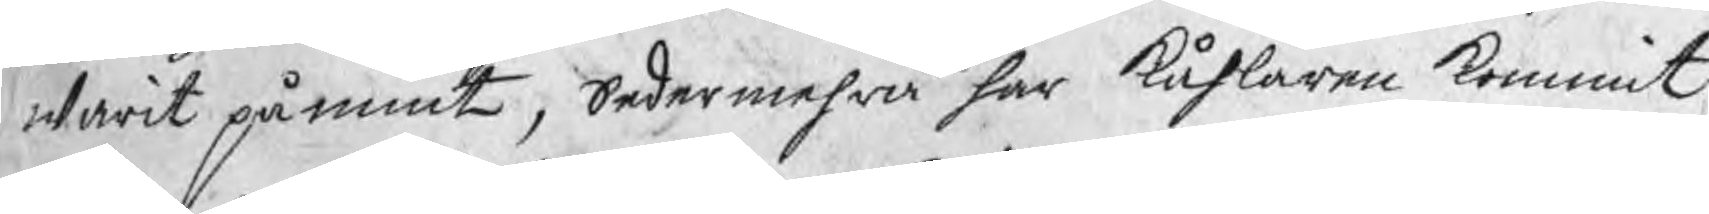warit påmint, Sedermehra har kåhlaren kommit
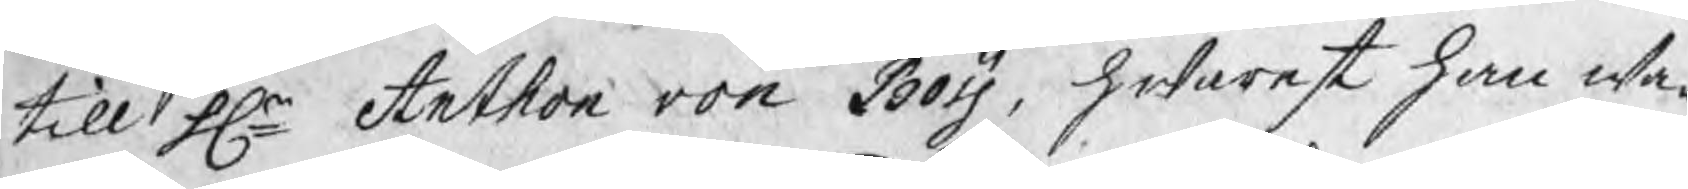till Hr Anthon von Boij, hwarest han wa¬
